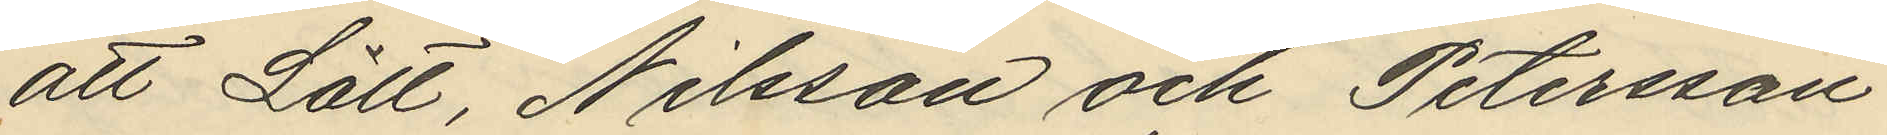att Lätt, Nilsson och Petersson
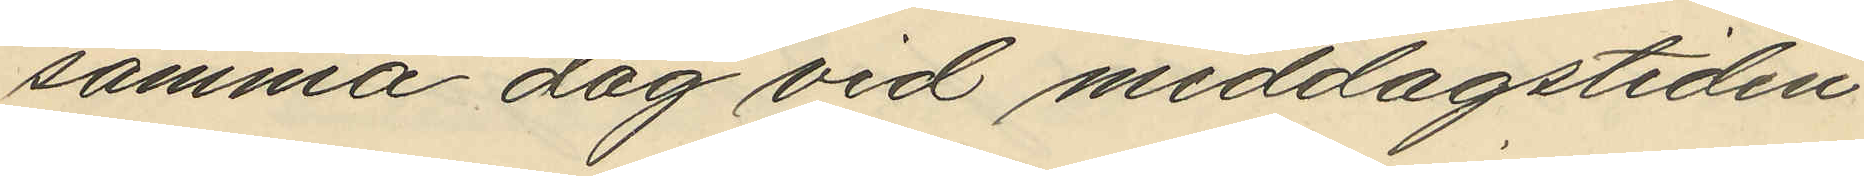samma dag vid middagstiden
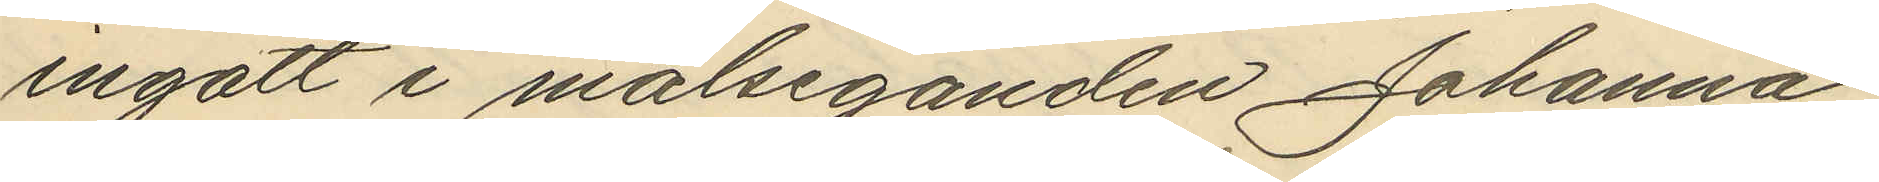ingått i målseganden Johanna
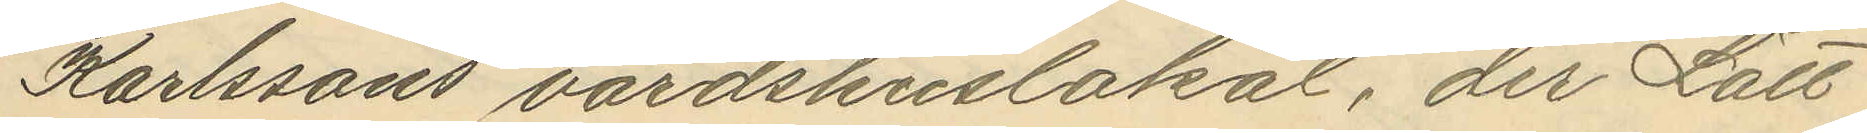Karlssons värdshuslokal; der Lätt
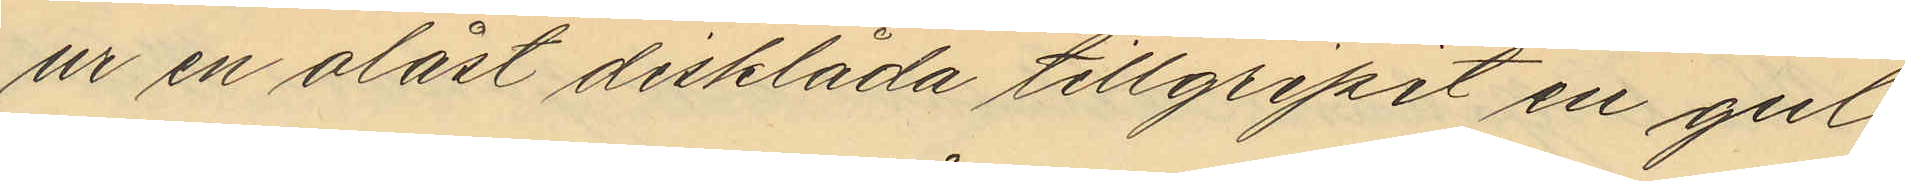ur en olåst disklåda tillgripit en gul
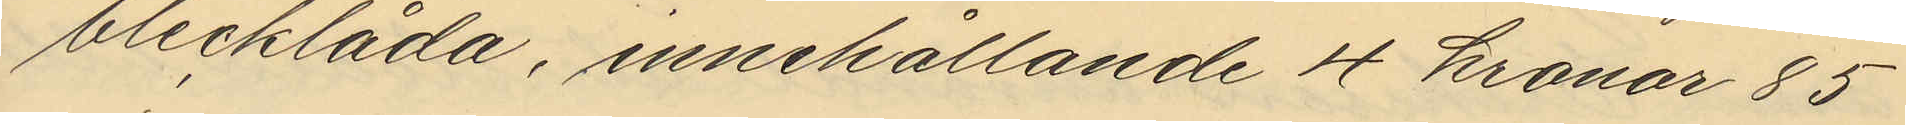blecklåda, innehållande 4 kronor 85
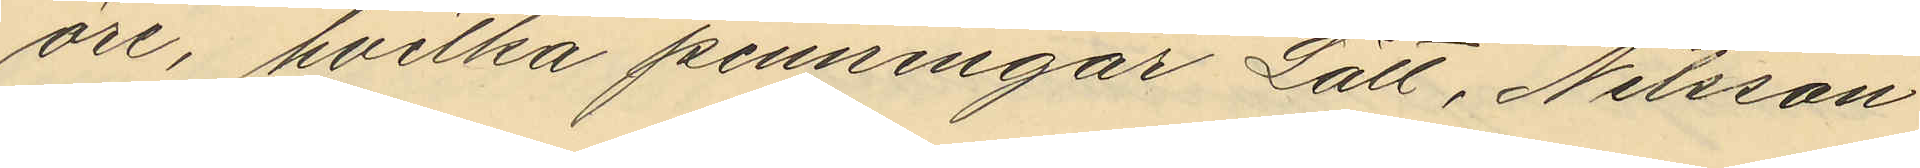öre, hvilka penningar Lätt, Nilsson
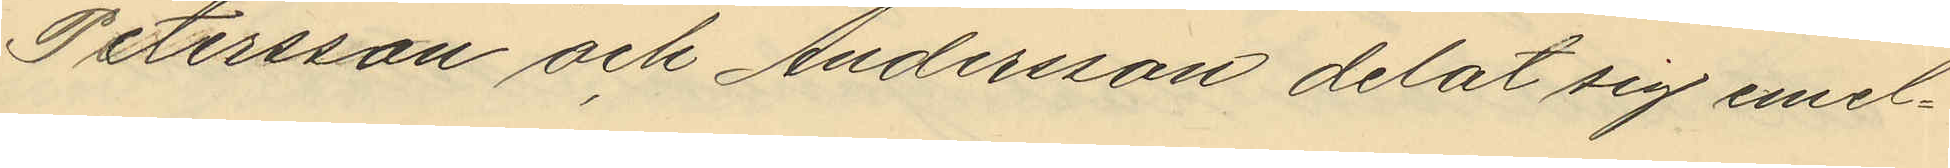Petersson och Andersson delat sig emel¬
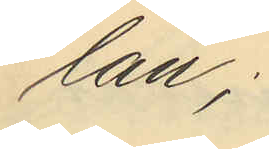lan.
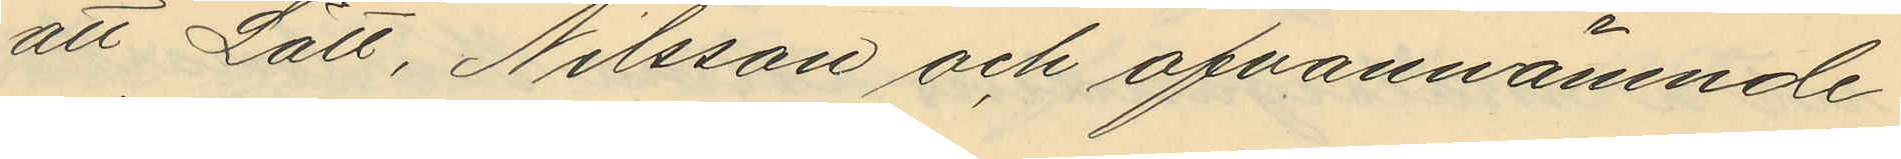att Lätt, Nilsson och ofvannämnde
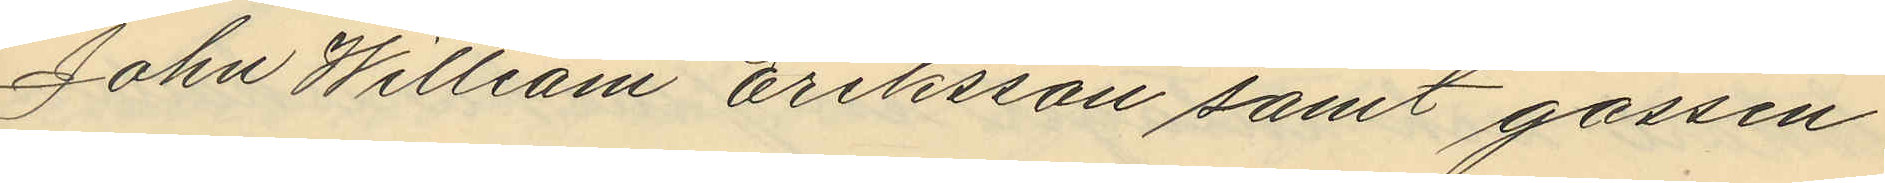John William Eriksson samt gossen
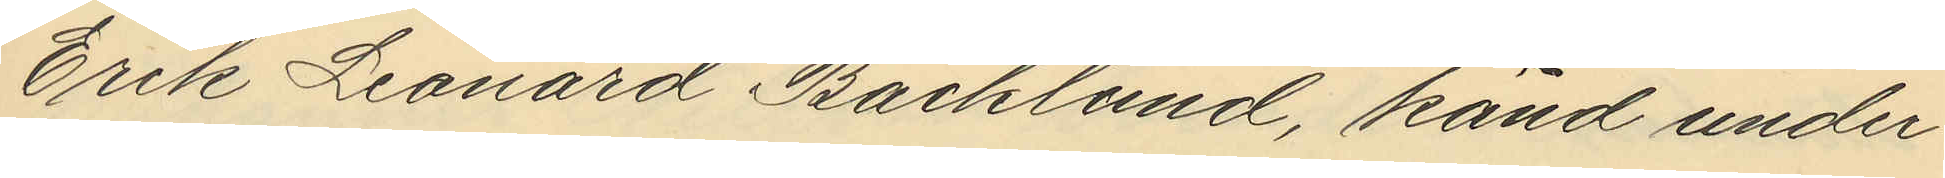Erik Leonard Backlund, känd under
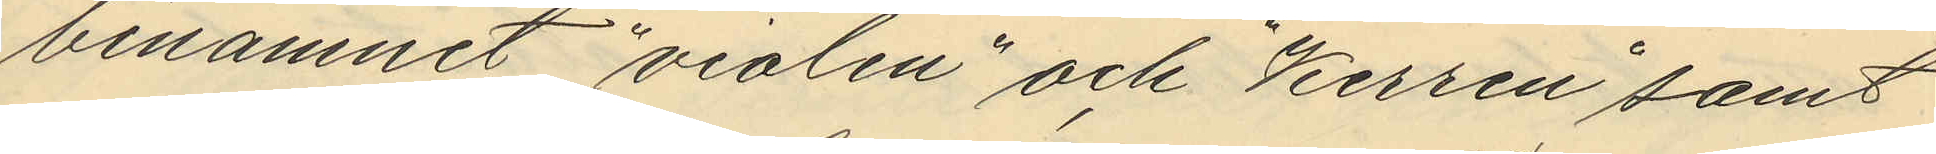binamnet "violen" och "Kerren" samt
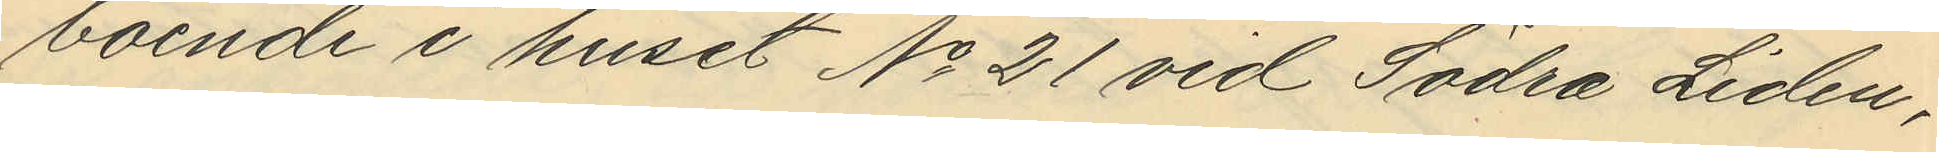boende i huset No 21 vid Södra Liden,
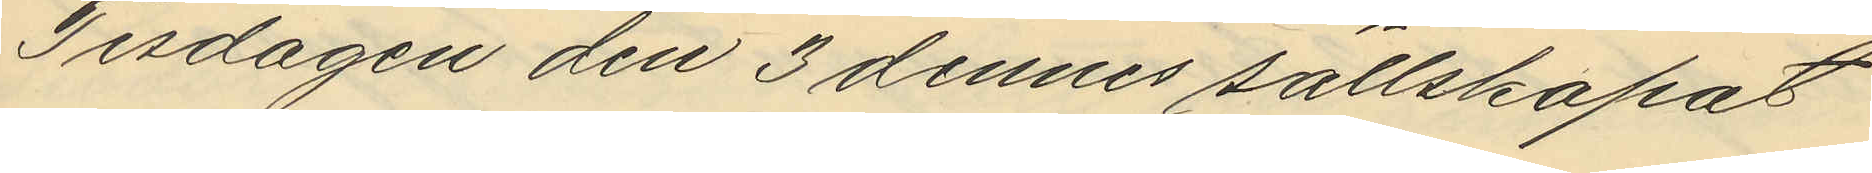Tisdagen den 3 dennes sällskapat
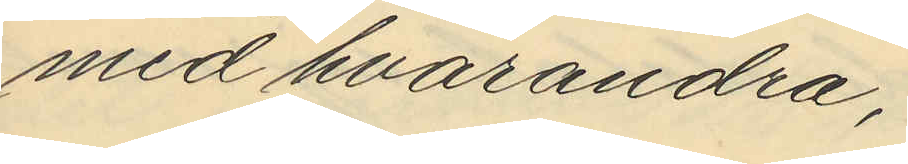med hvarandra,
